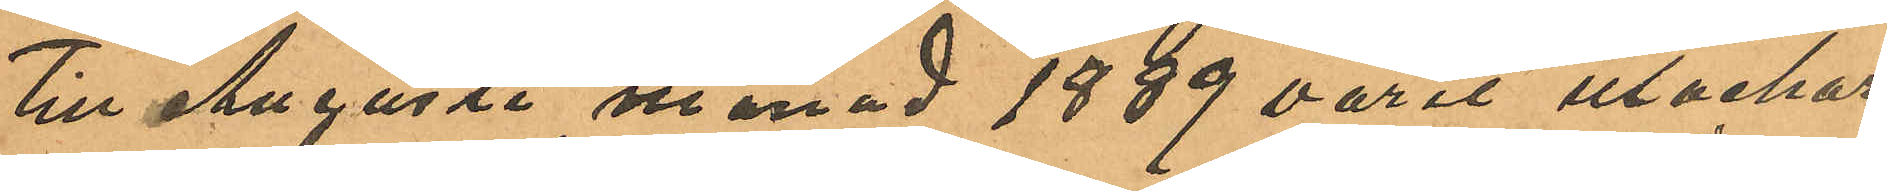till Augusti månad 1889 varit utackor¬
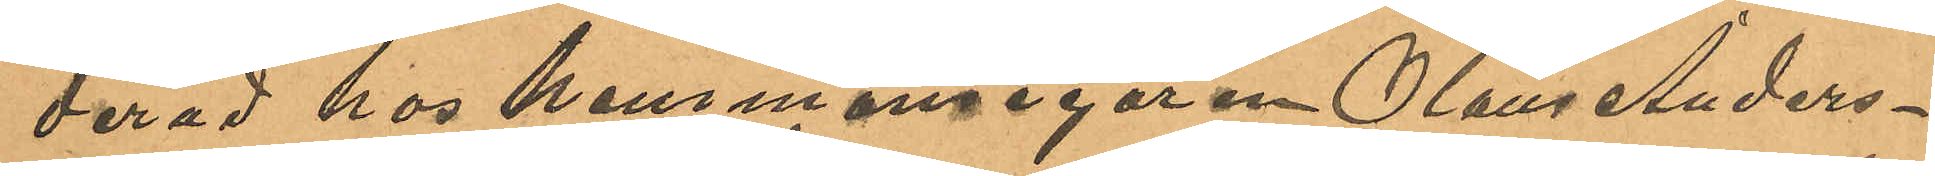derad hos hemmansegaren Olaus Anders¬
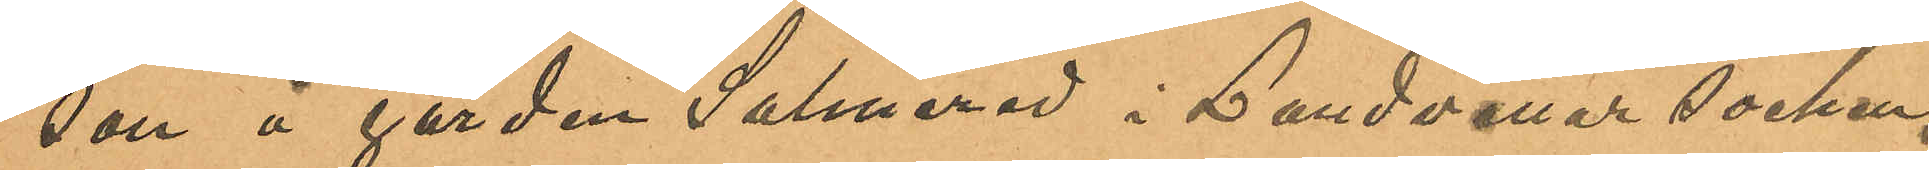son å gården Salmered i Landvetter socken;
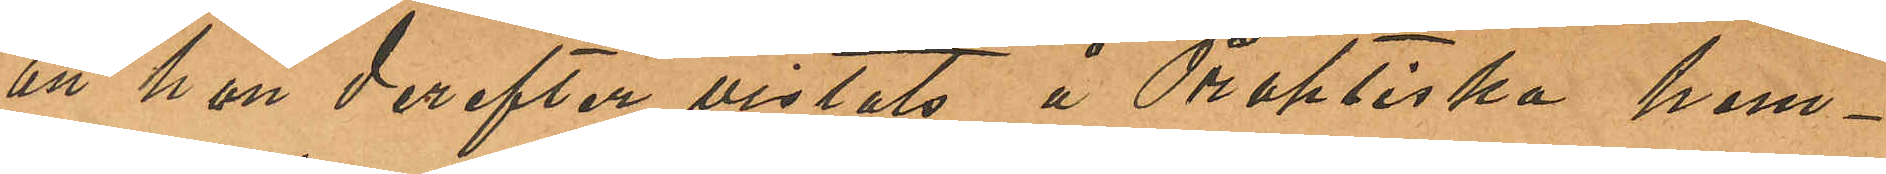att hon derefter vistats å Praktiska hem¬
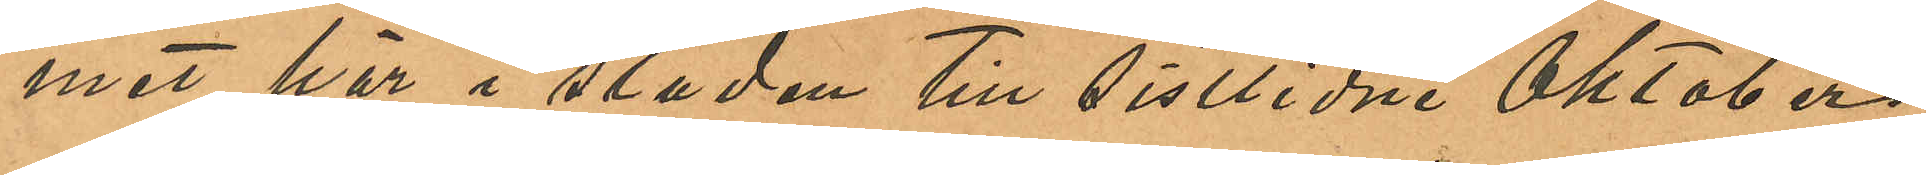met här i staden till sistlidne Oktober
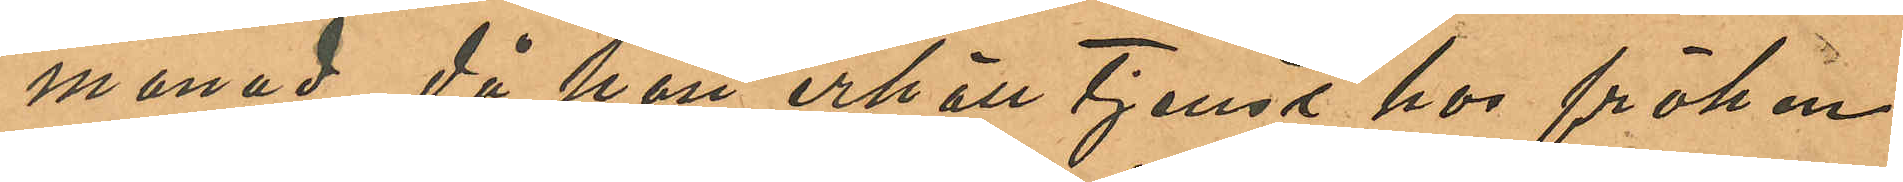månad, då hon erhöll tjenst hos fröken
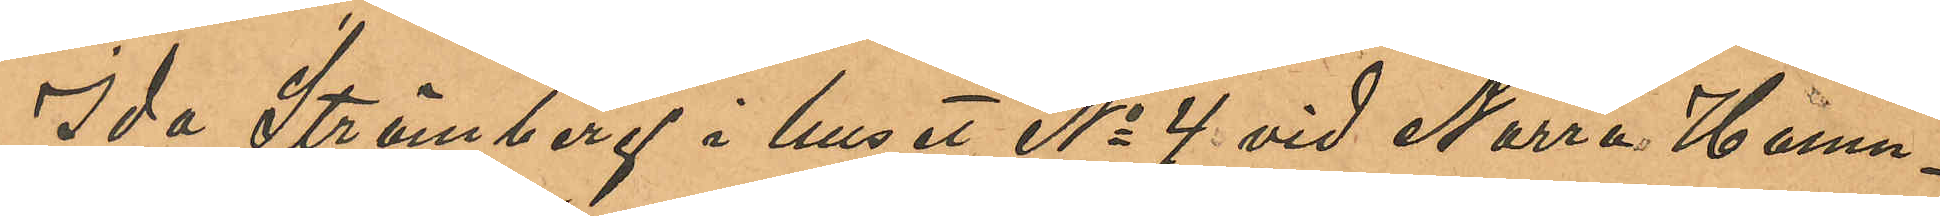Ida Strömberg i huset No 4 vid Norra Hamn¬
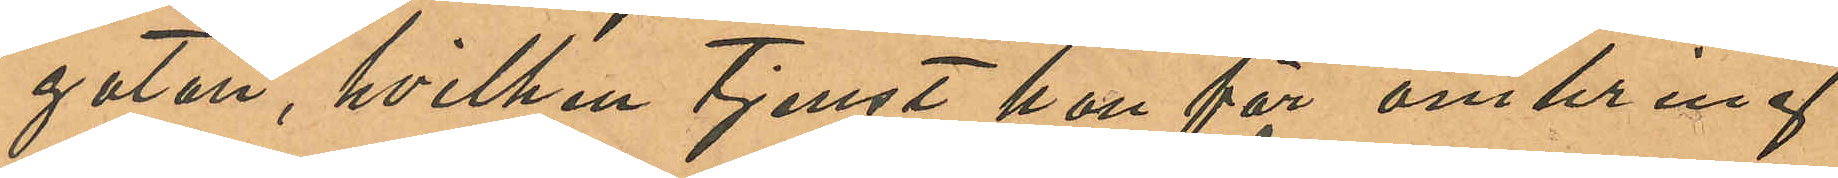gatan, hvilken tjenst hon för omkring
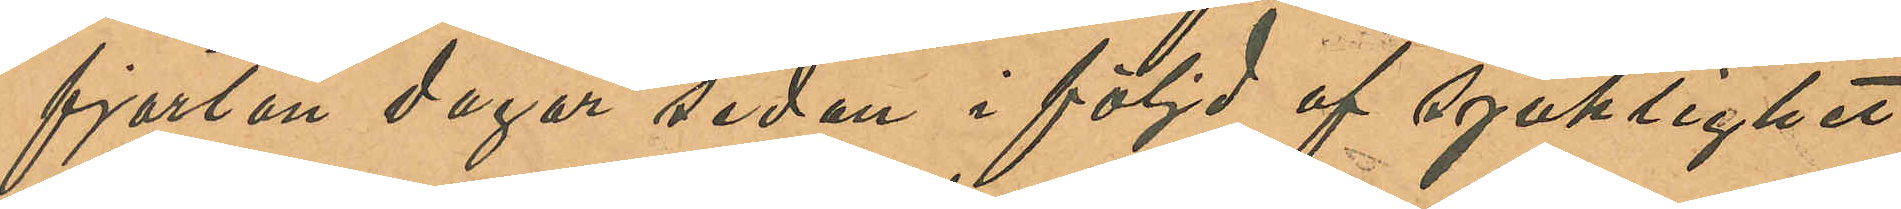fjorton dagar sedan i följd af sjuklighet
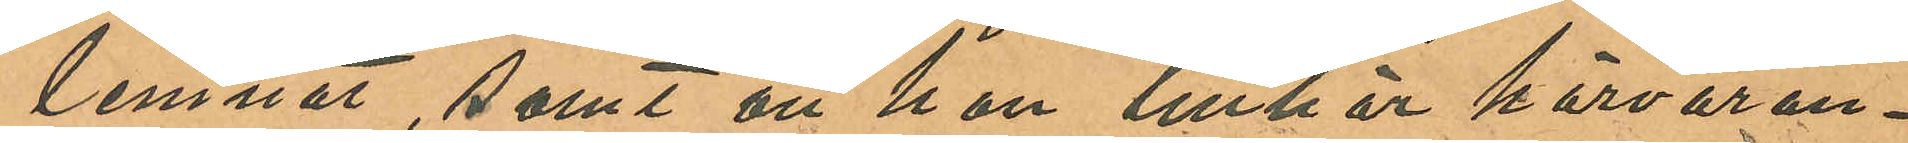lemnat, samt att hon tilhör härvaran¬
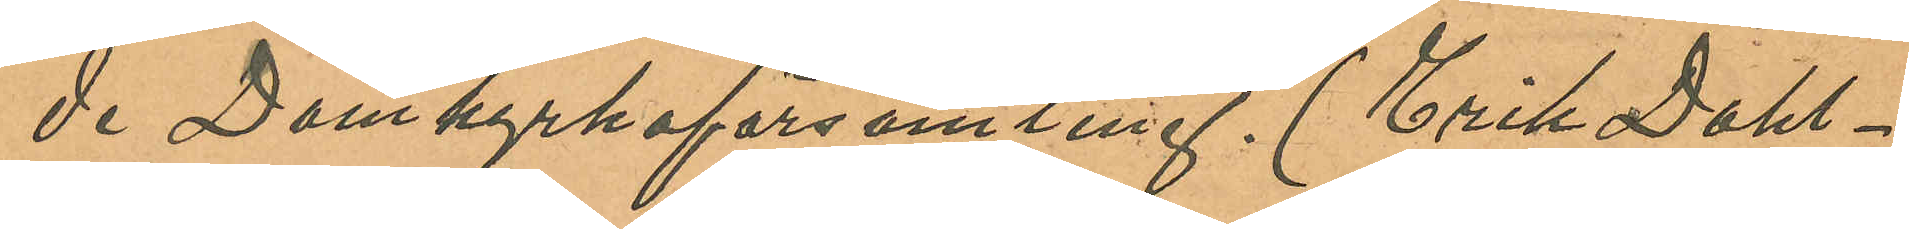de Domkyrkoförsamling. (Erik Dahl¬
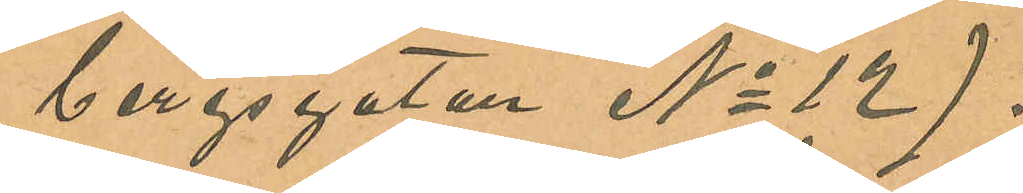bergsgatan No 12).
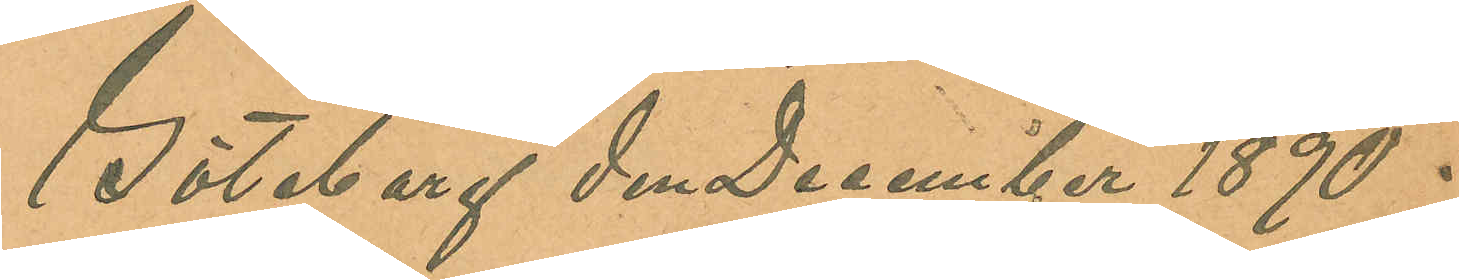Göteborg den December 1890 .
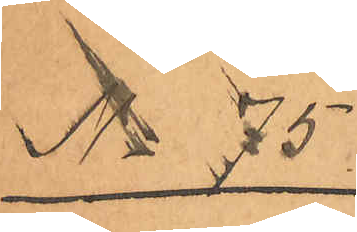No 75
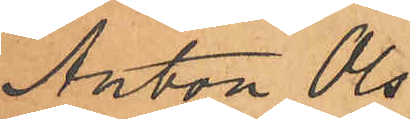Anton Ols¬
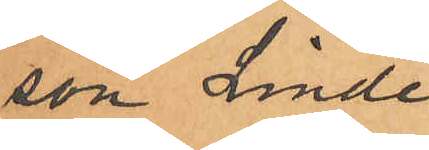son Linde.
